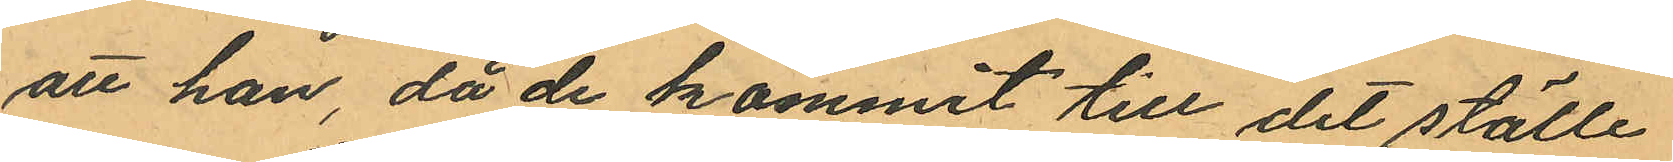att han, då de kommit till det ställe
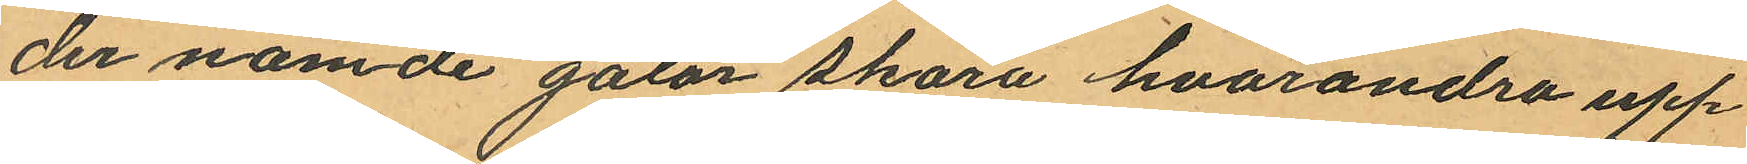der nämde gator skära hvarandra upp¬
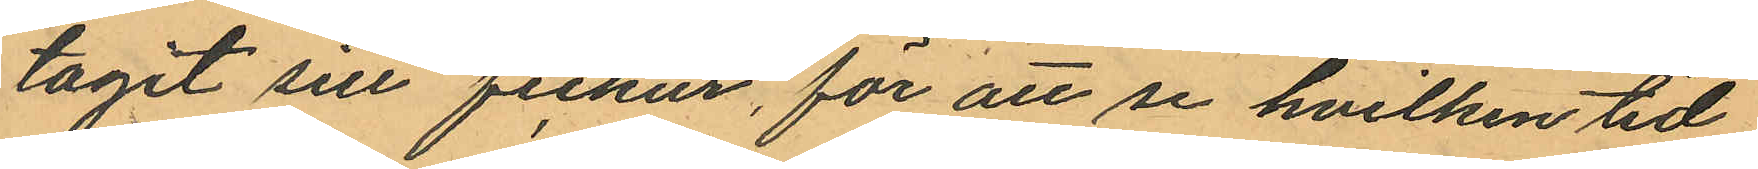tagit sitt fickur, för att se hvilken tid
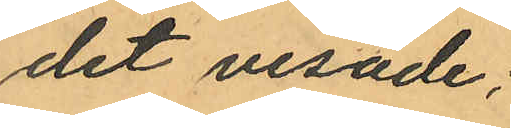det visade;
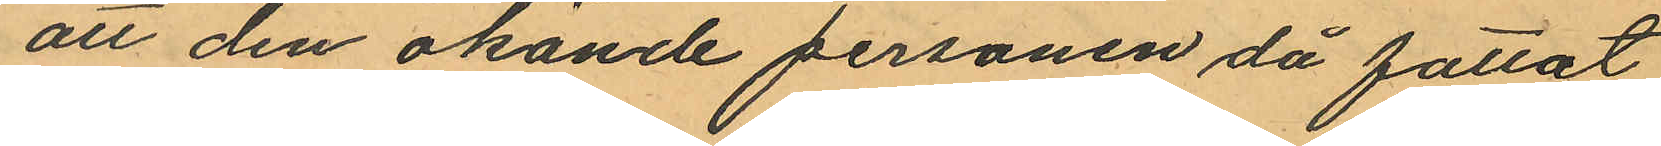att den okände personen då fattat
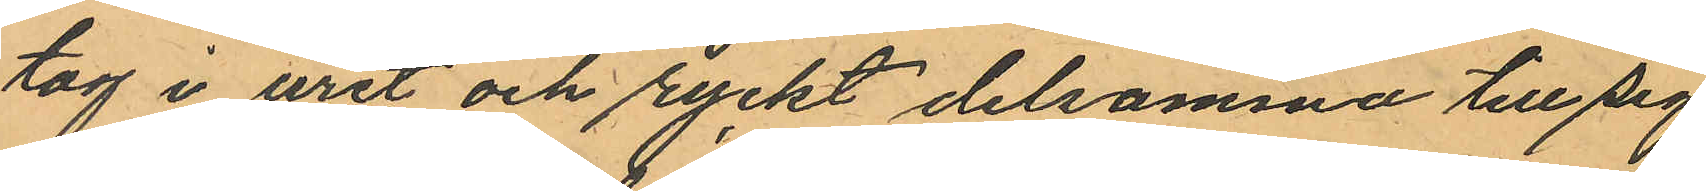tag i uret och ryckt delsamma till sig,
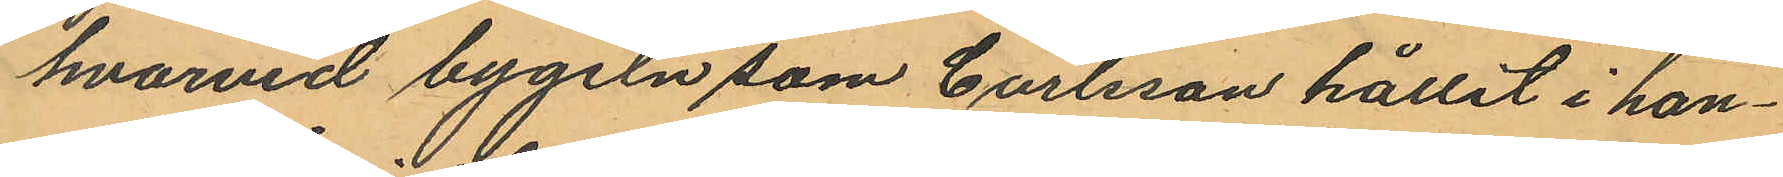hvarvid bygeln som Carlsson hållit i han¬
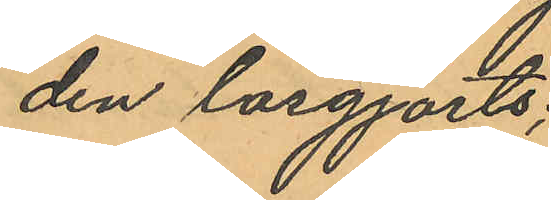den lösgjorts;
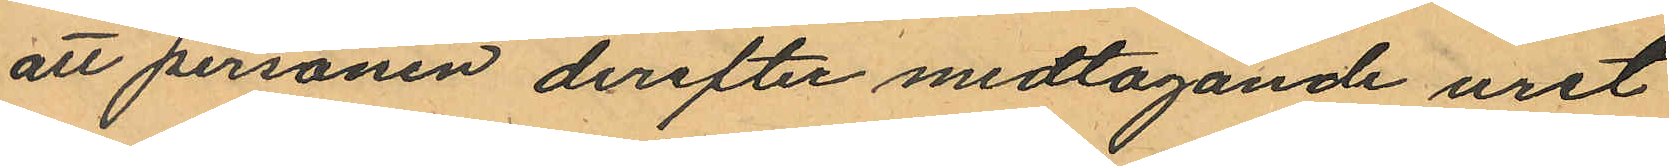att personen derefter medtagande uret
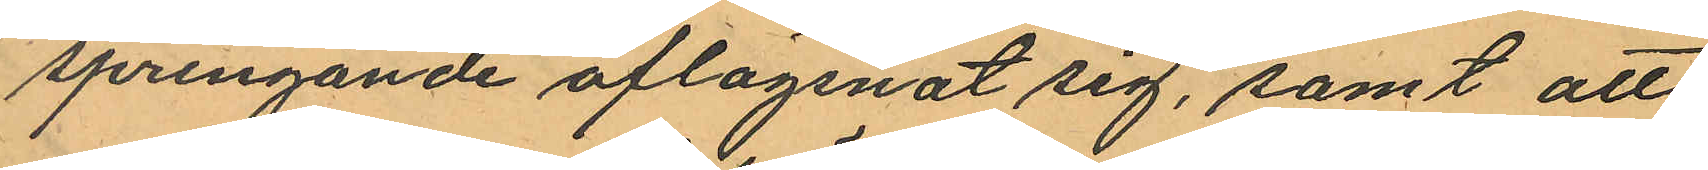springande aflägsnat sig, samt att
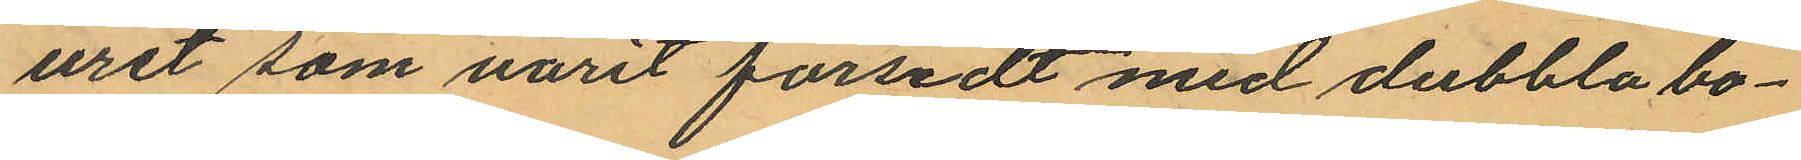uret som varit försedt med dubbla bo¬
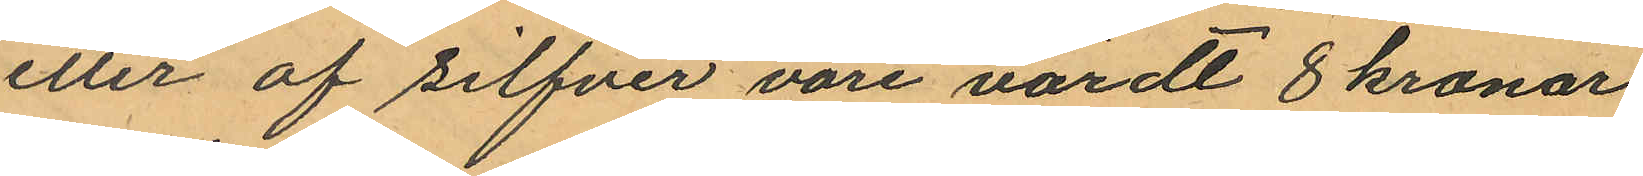etter af silfver vore värdt 8 kronor
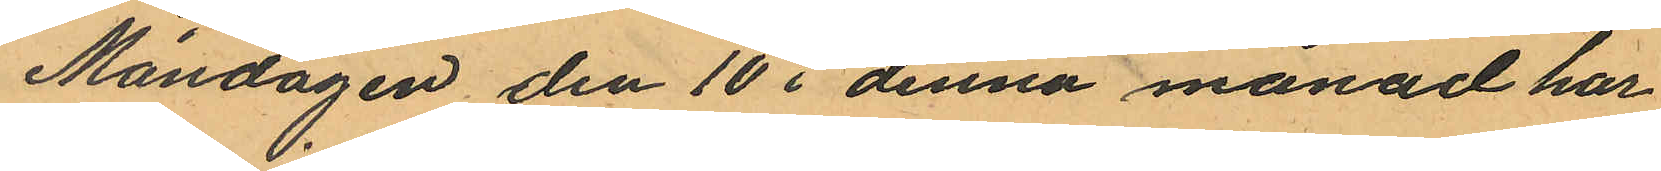Måndagen den 10 i denna månad har
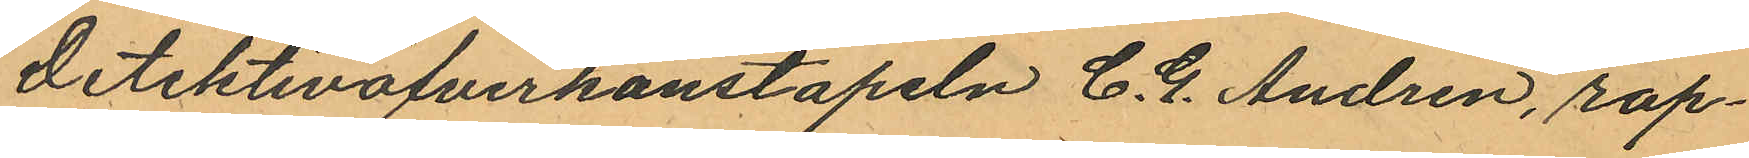detektivöfverkonstapeln C. G. Andren, rap¬
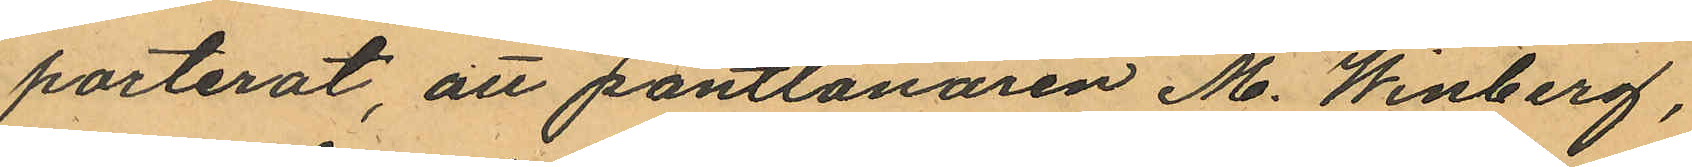porterat, att pantlånaren M. Winberg,
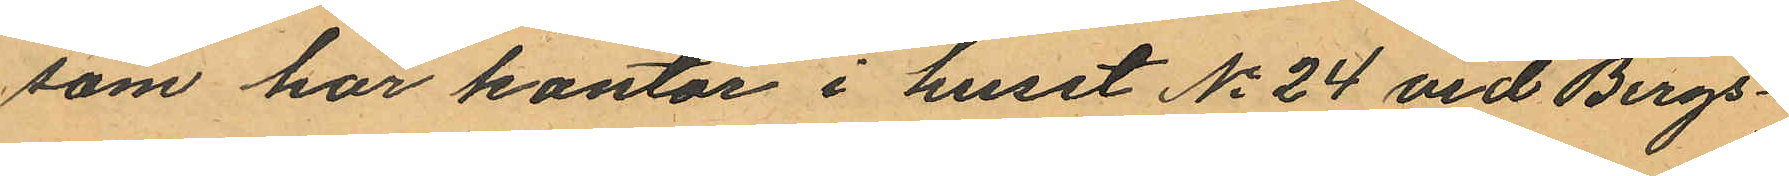som har kontor i huset No 24 vid Bergs¬
